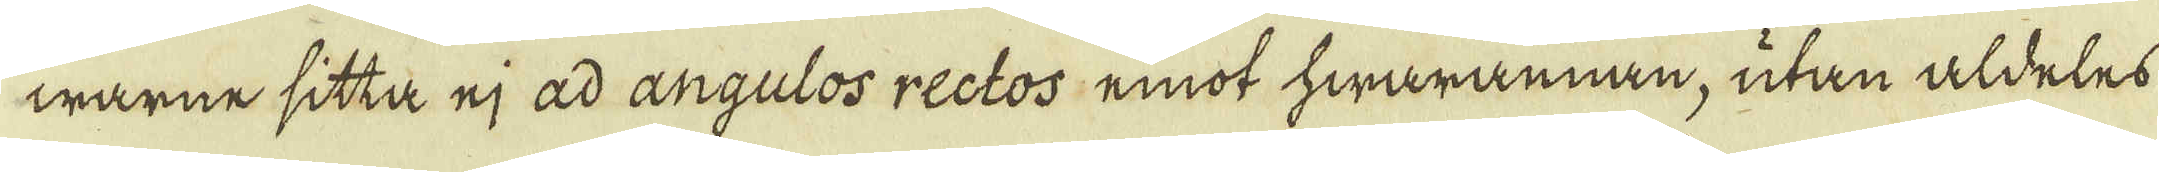warne sitta ej ad angulos rectos, emot hwarannan, utan aldeles
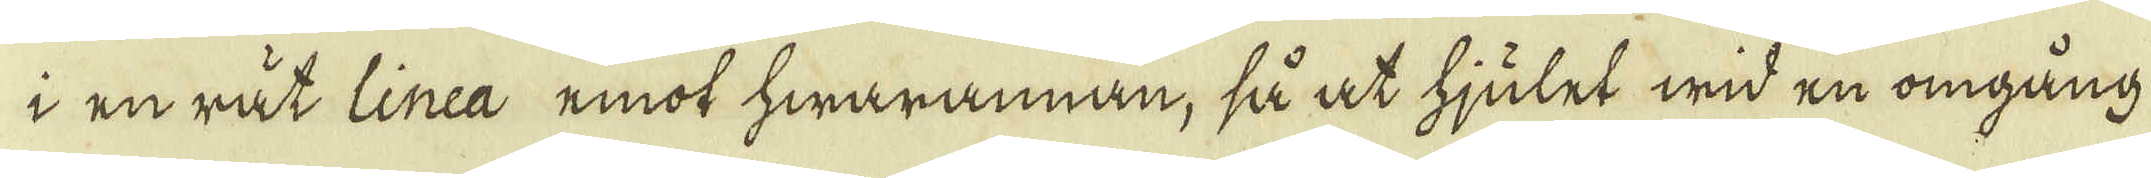i en rät linea emot hwarannan, så at hjulet wid en omgång
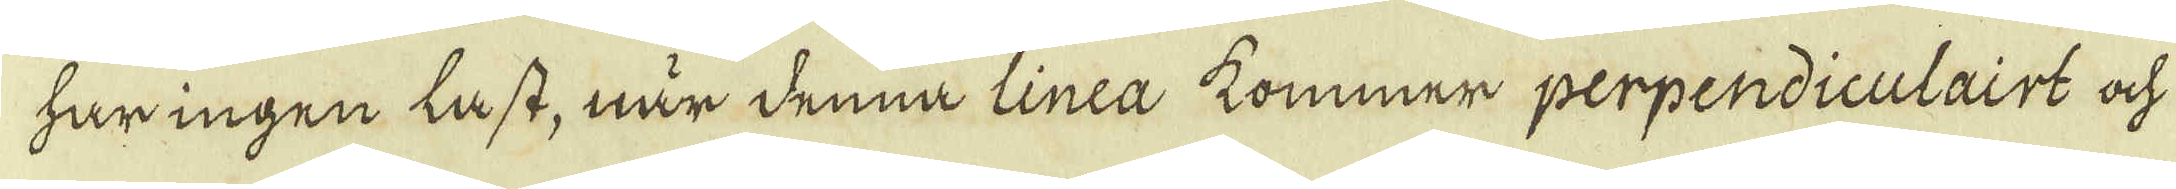har ingen last, när denna linea kommer perpendiculairt och
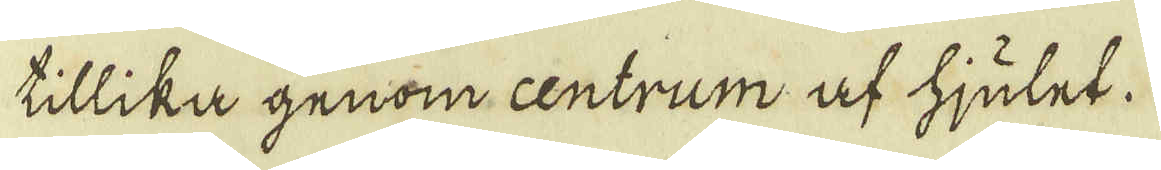tillika genom centrum af hjulet.
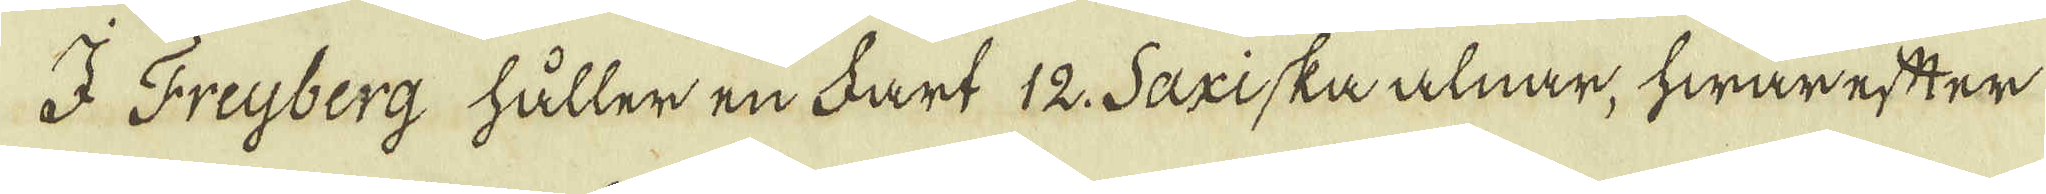I Freyberg håller en Fart 12 Saxiska alnar, hwarefter
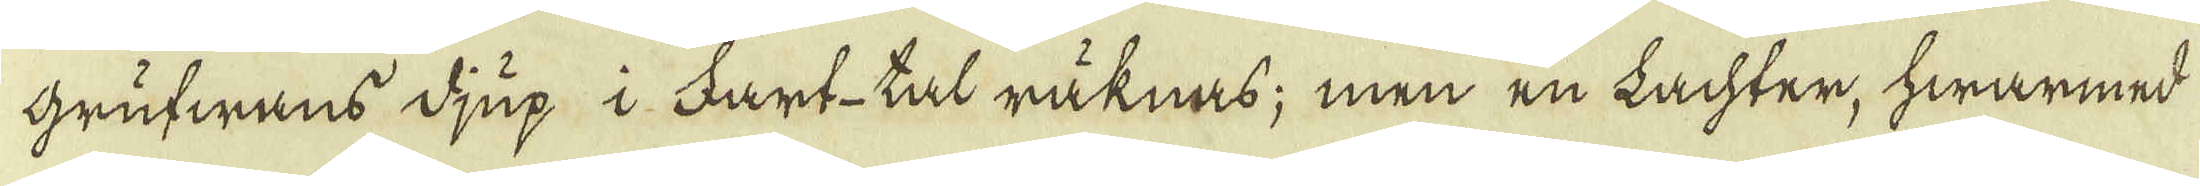Grufwans djup i Fart-tal räknas; men en Lachter, hwarmed
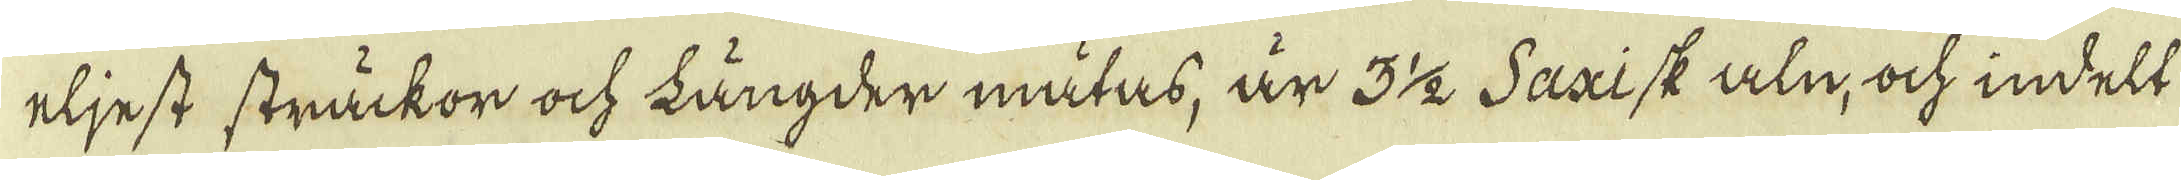eljest sträckor ock längder mätas, är 3 1/2 Saxisk aln, ock indelt
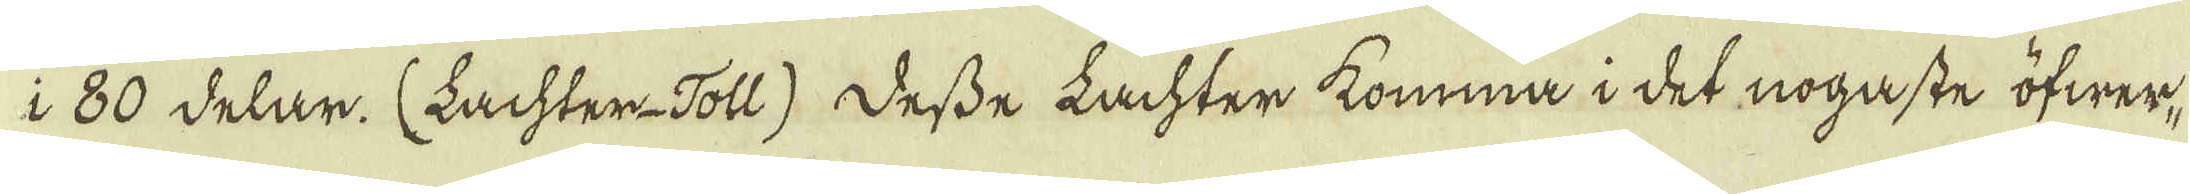i 80 delar. (Lachter-Toll). Desse Lachter komma i det nogaste öfwer-
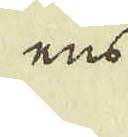ens
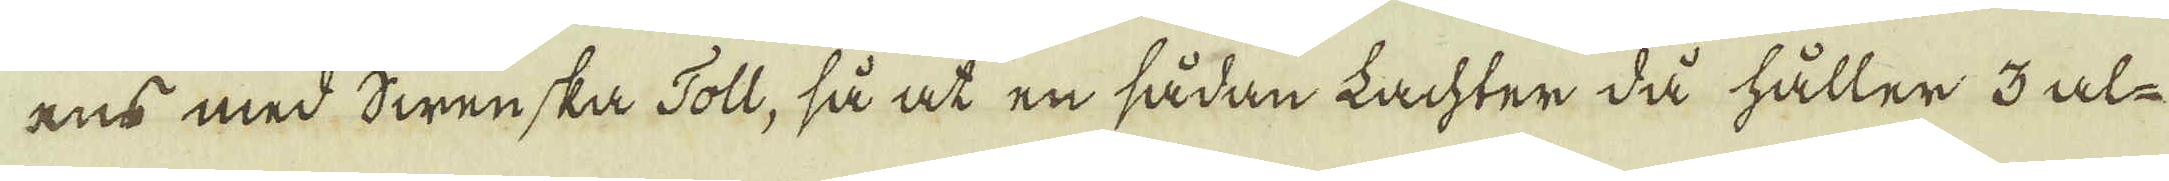ens med Swenska Toll, så at en sådan Lachter då håller 3 al-
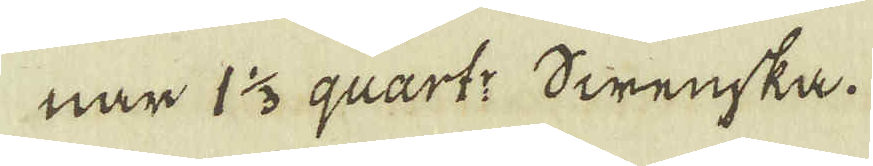nar 1 1/3 qvart: Swenska.
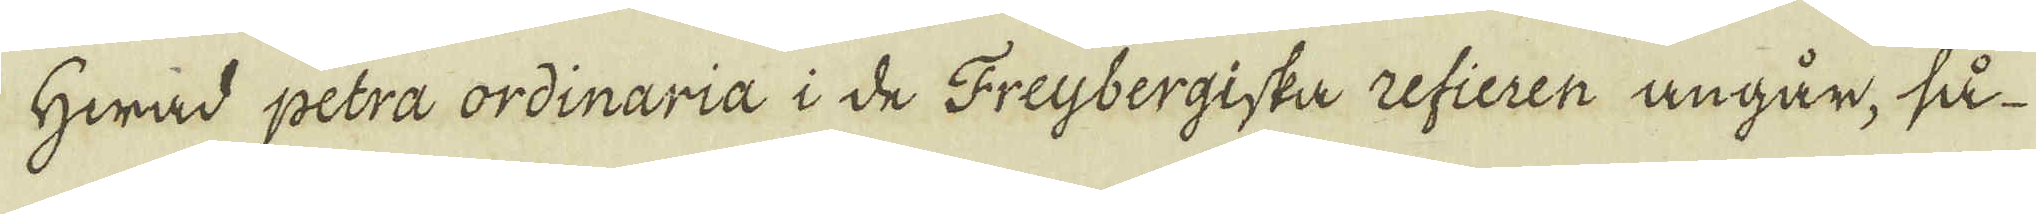Hwad petra ordinaria i de Freybergiska refieren angår, så
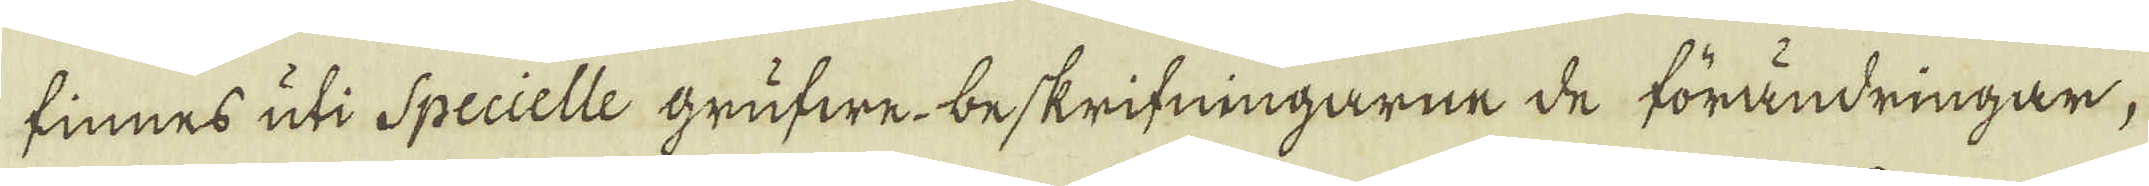finnes uti Specielle grufwe-beskrifningarne de förändringar,
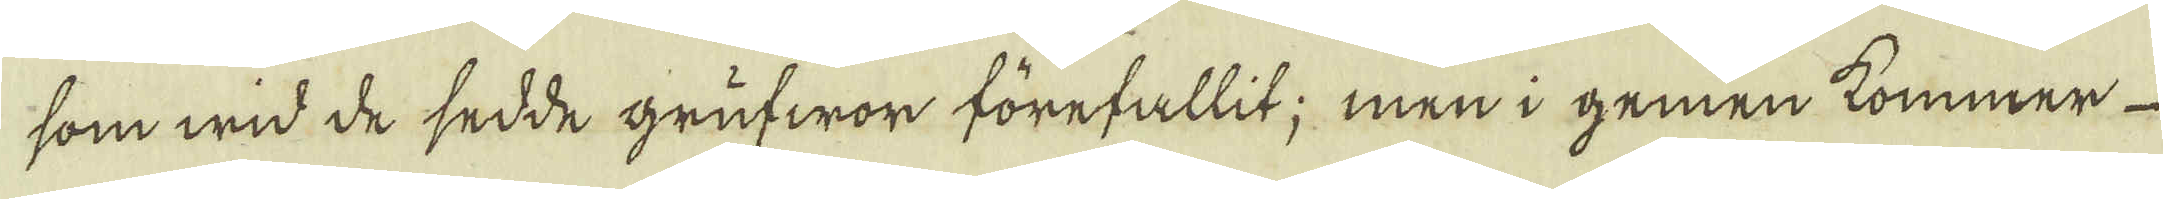som wid de sedde grufwor förefallit; men i gemen kommer
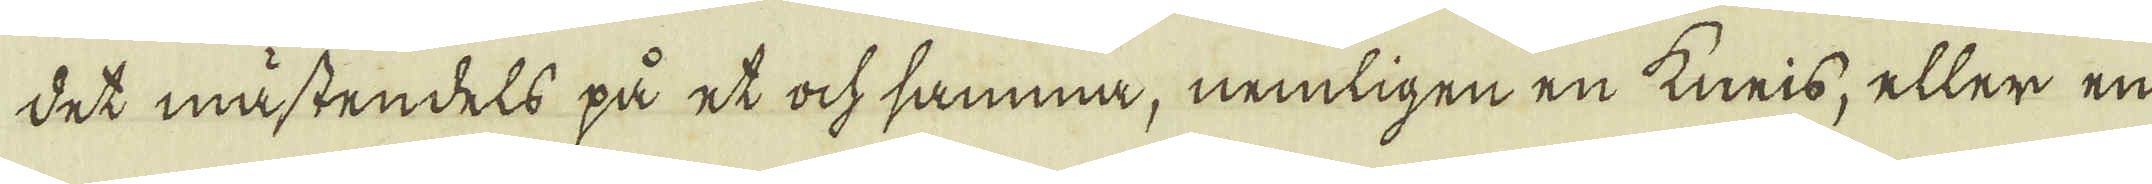det mästendels på et ock samma, nemligen en kneis, eller en
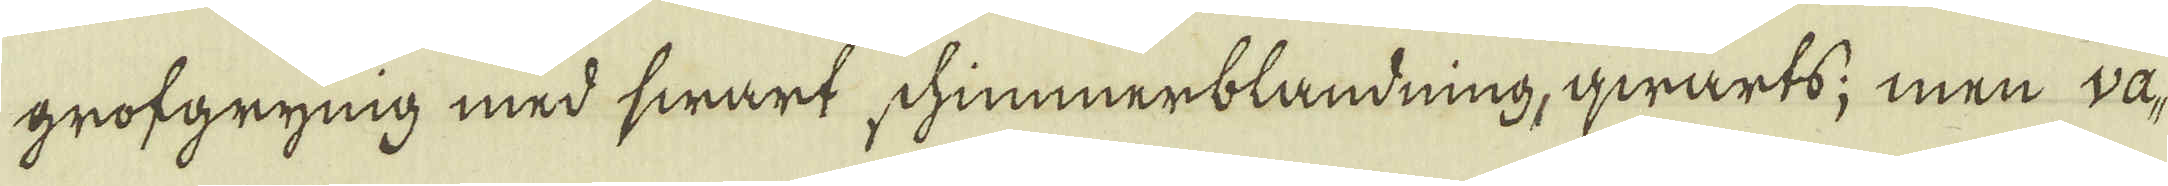grofgrynig med swart schimmerblandning, qwarts; men va-
